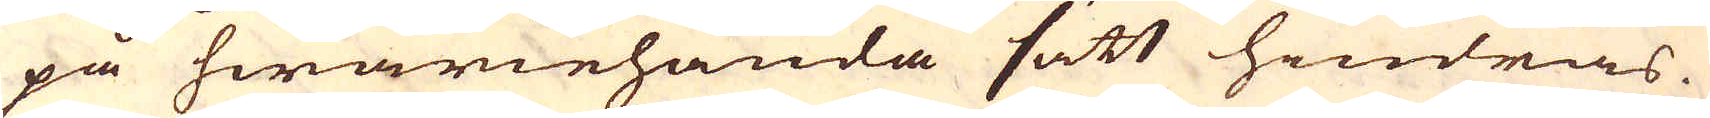på hwariehanda sätt hindras.
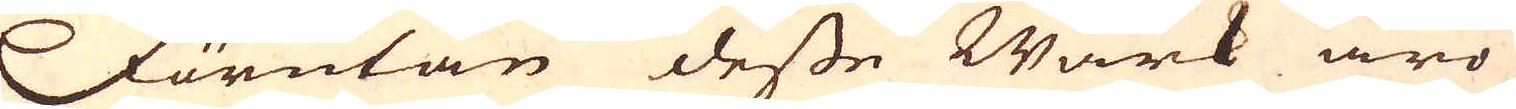Förutan desse Wärk äro
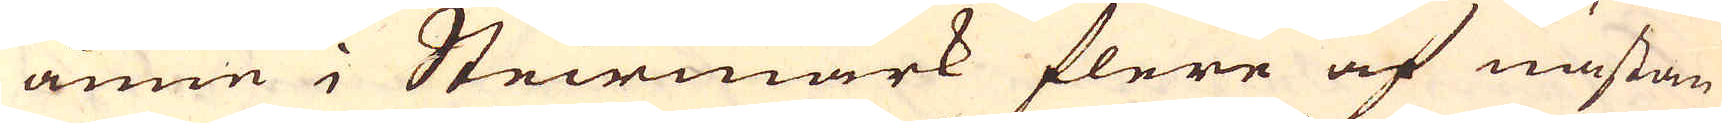ännu i Steirmark flere af nästan
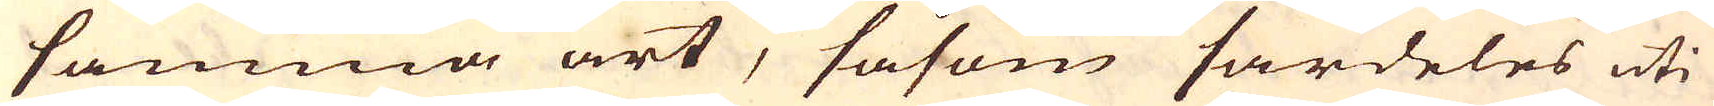samma art, såsom särdeles uti
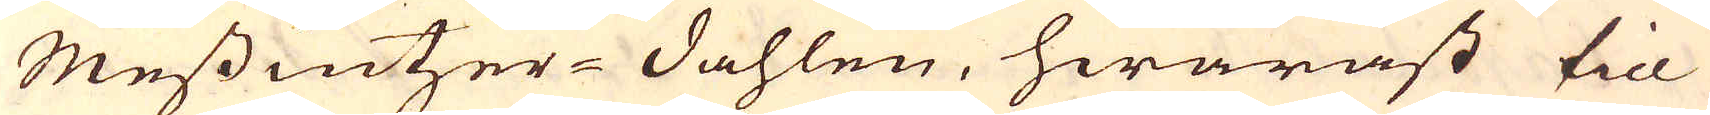Messintzer-Dahlen, hwaräst till
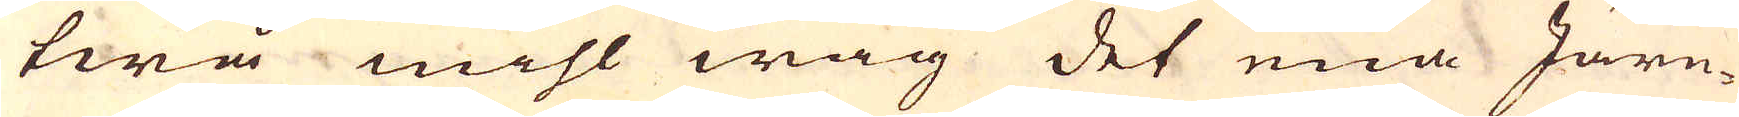twå mihl wäg det ena Järn-
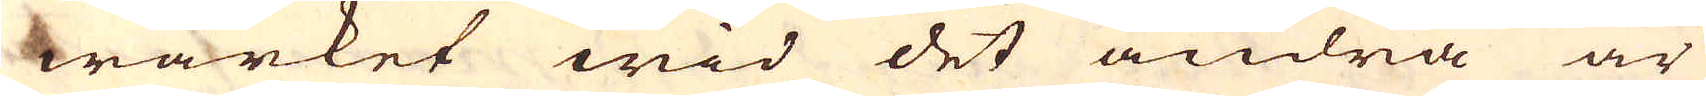wärket wid det andra är
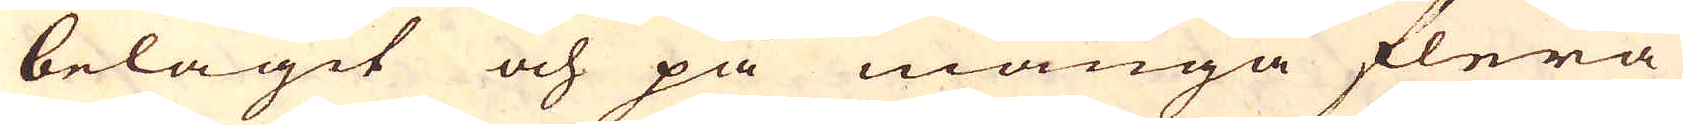belägit och på många flera
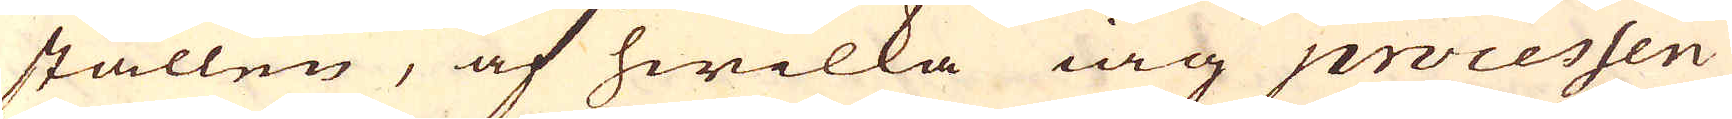ställen, af hwilka iag processen
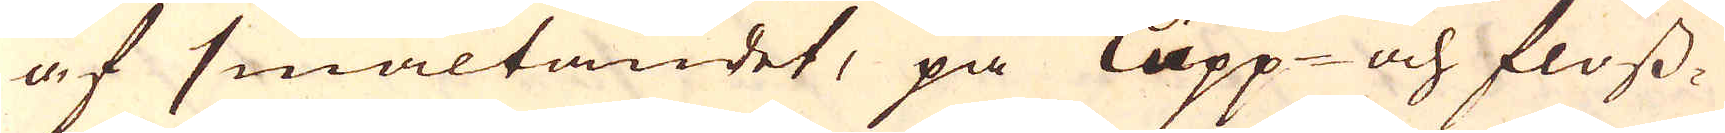af smältandet, på Lupp- och floss-
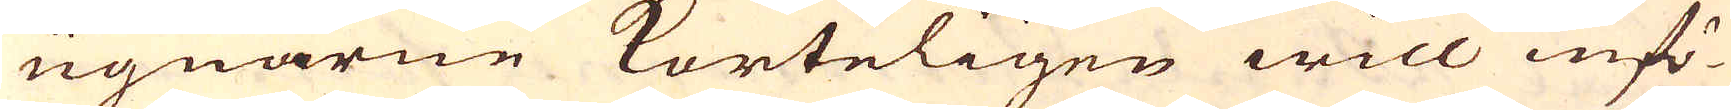ugnarne korteligen will infö-
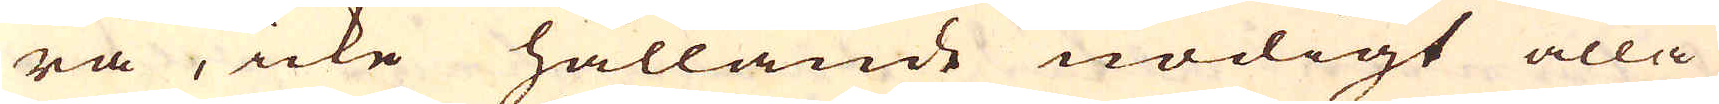ra, icke hållande nödigt alla
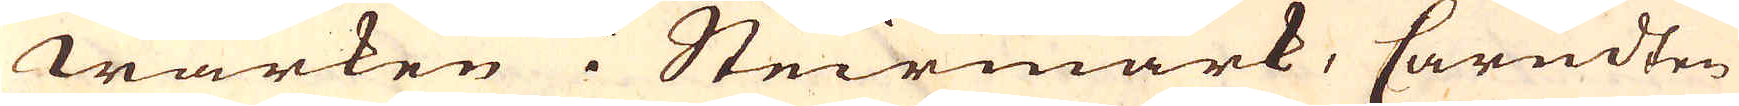wärken i Steirmark, Cärndten
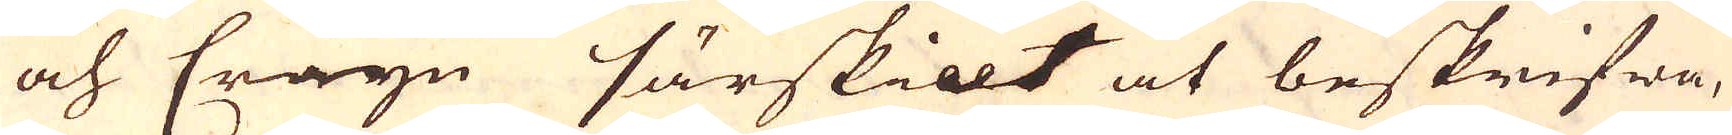och Cräyn särskillt at beskrifwa,
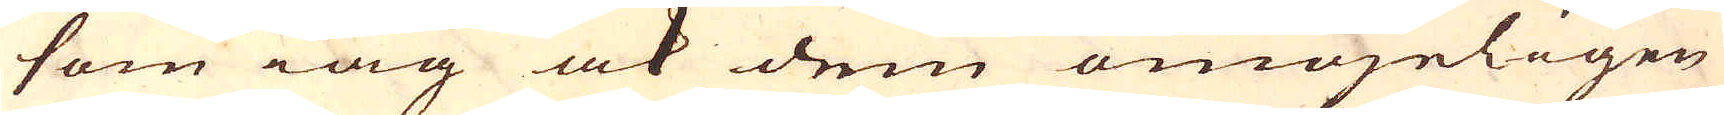som iag ock dem omöjeligen
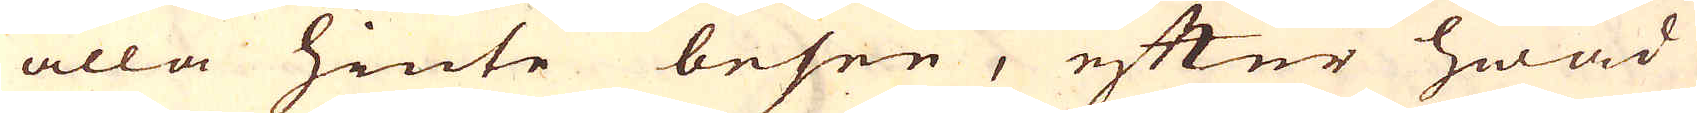alla hinte besee, efter hwad
